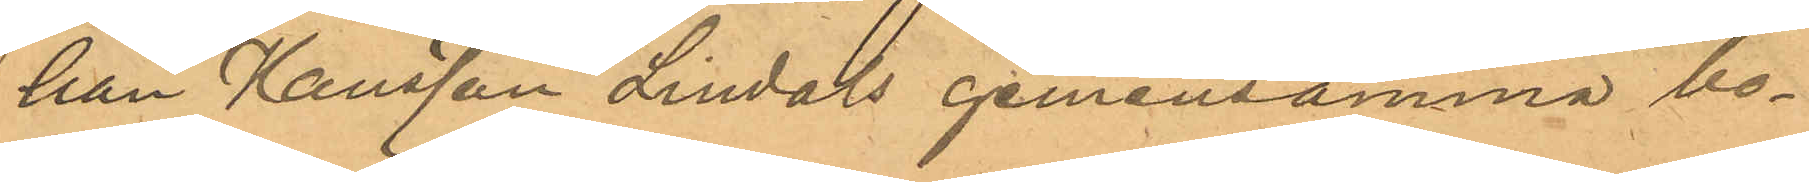han Hansson Lindals gemensamma bo¬
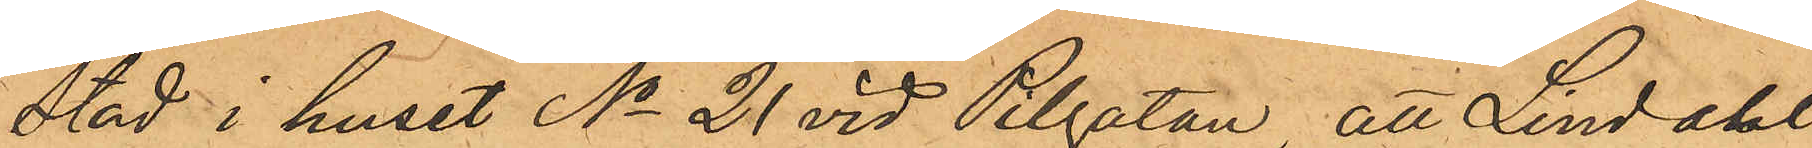stad i huset No 21 vid Pilgatan, att Lindahl
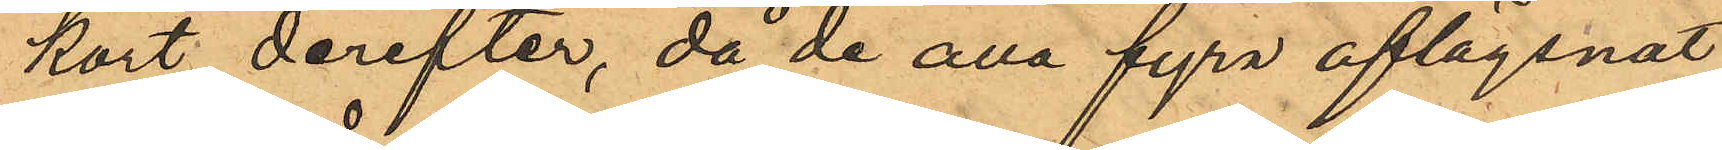kort derefter, då de alla fyra aflägsnat
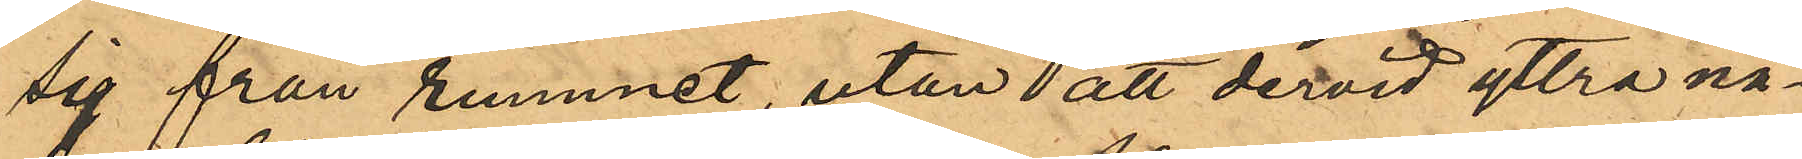sig från rummet, utan att dervid yttra nå¬
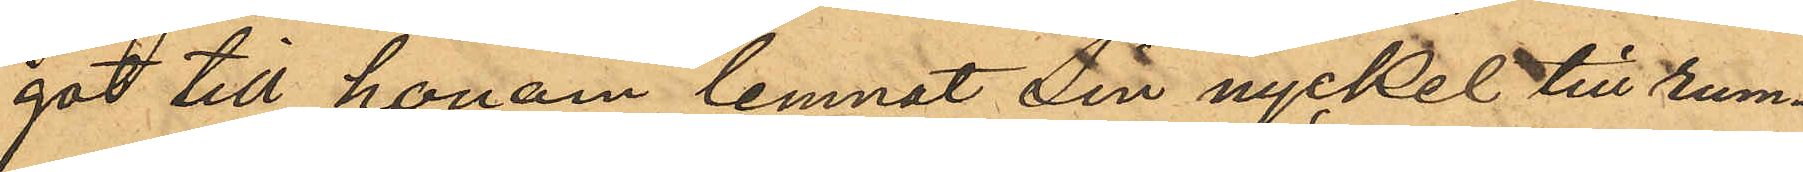got till honom lemnat sin nyckel till rum¬
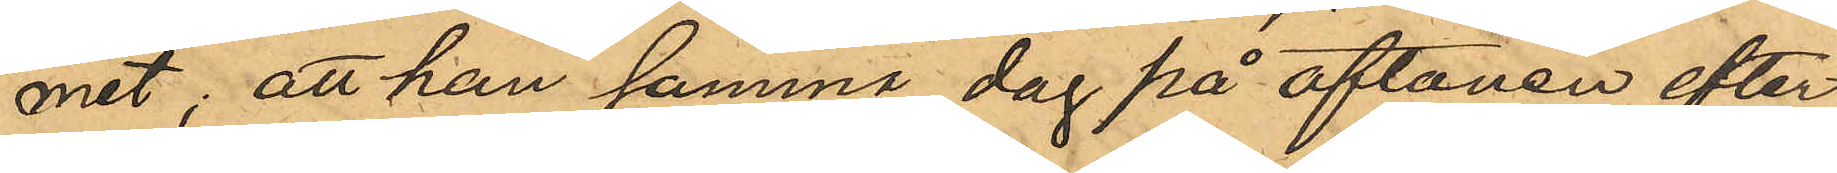met; att han samma dag på aftonen efter
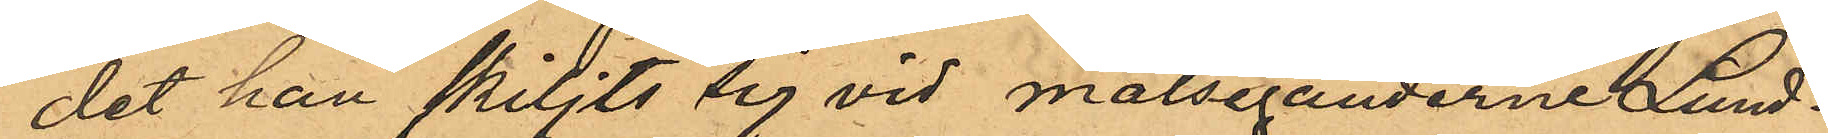det han skiljts sig vid målseganderne Lund¬
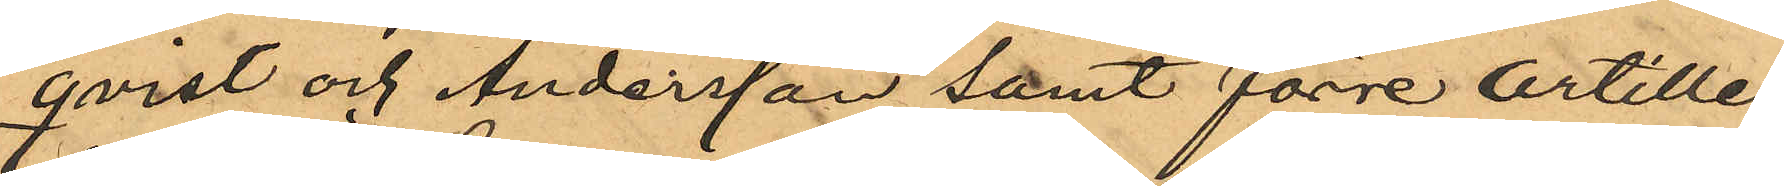qvist och Andersson samt förre Artille¬
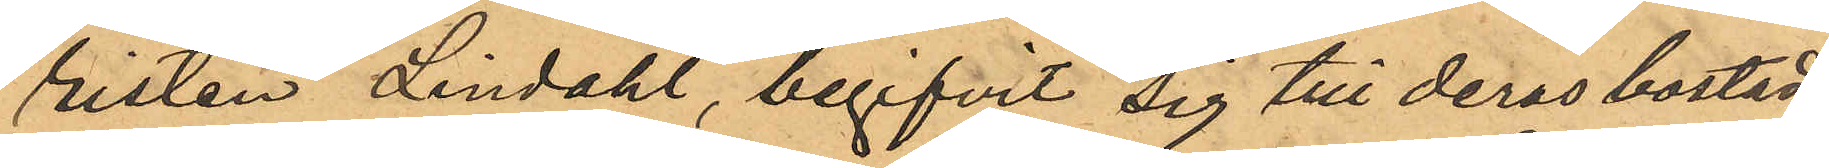risten Lindahl, begifvit sig till deras bostad,
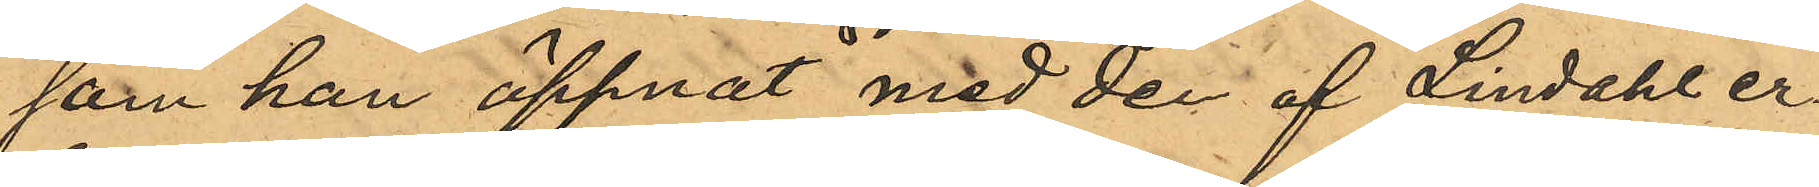som han öppnat med den af Lindahl er¬
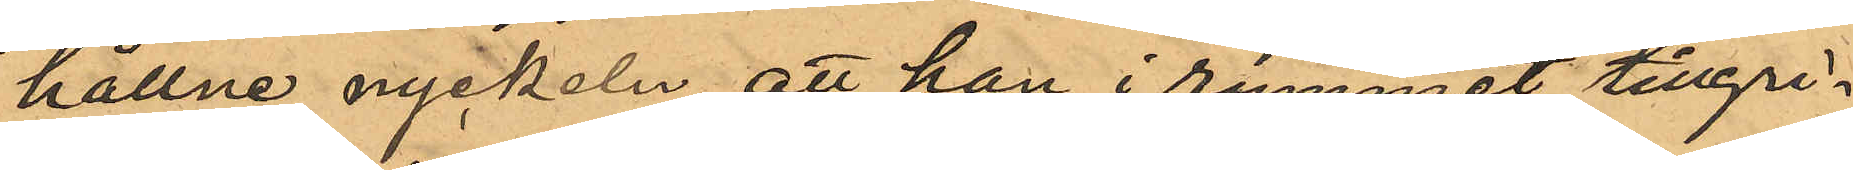hållne nyckeln, att han i rummet tillgri¬
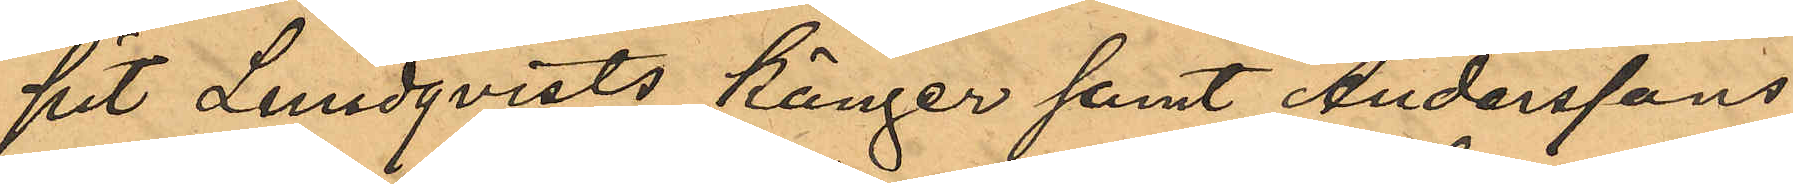pit Lindqvists känger samt Anderssons
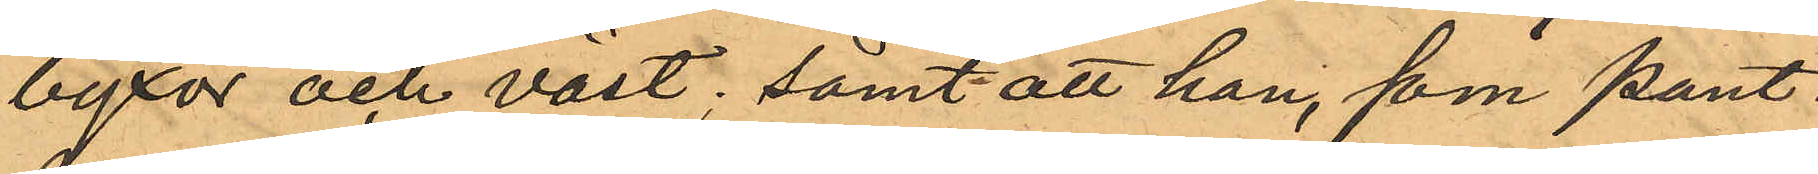byxor och väst; samt att han, som pant¬
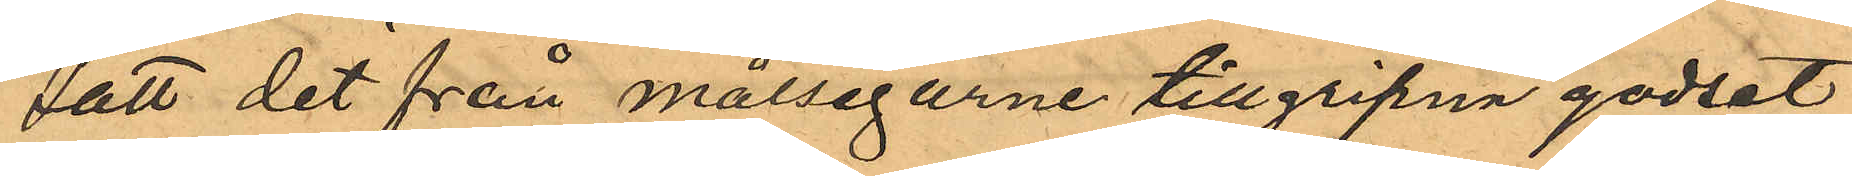satt det från målsegarne tillgripna godset
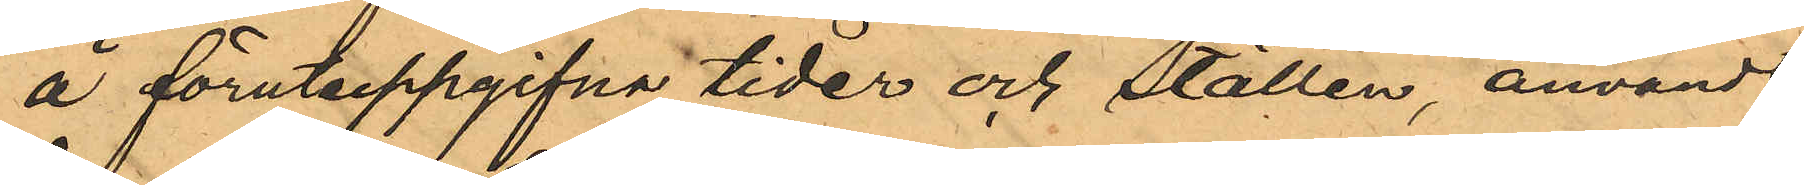å förutuppgifna tider och ställen, användt
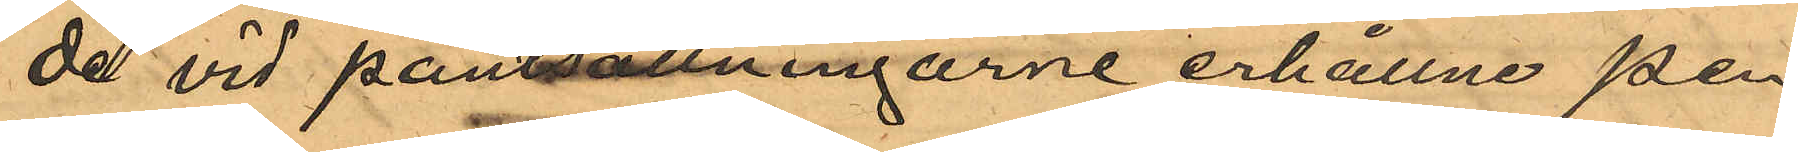de vid pantsättningarne erhållne pen¬
